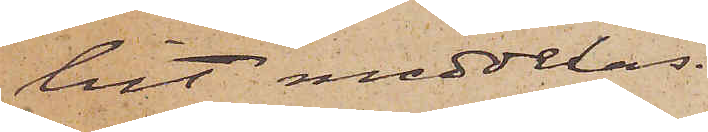hit meddelas.
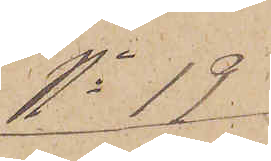No 19
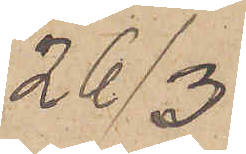26/3.
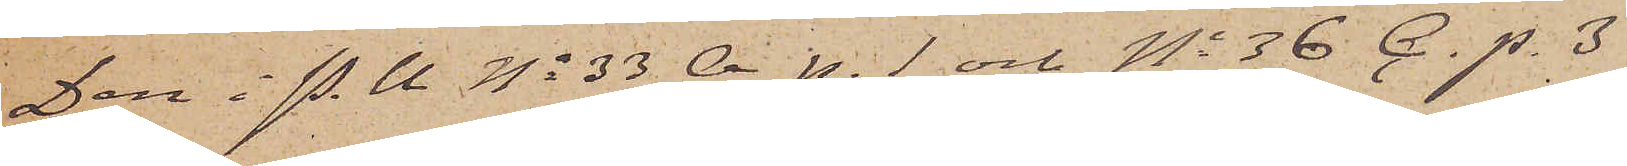Den i P.U No 33 A p. 1 och No 36 C. p. 3
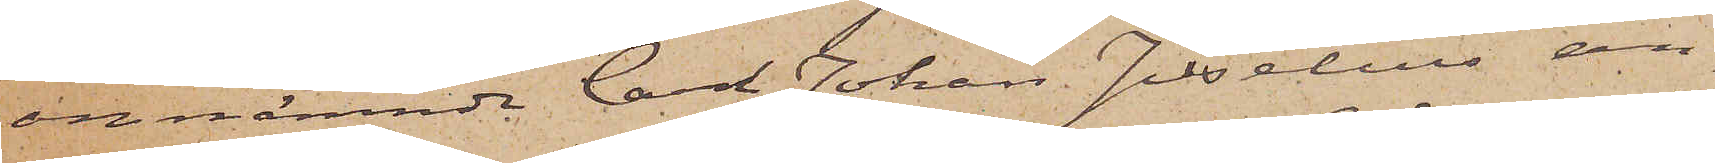omnämnde Carl Johan Juselius an-
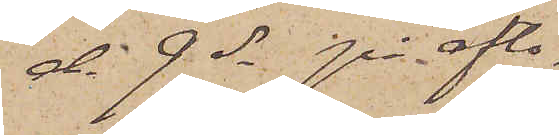d. 9 ds på afto¬
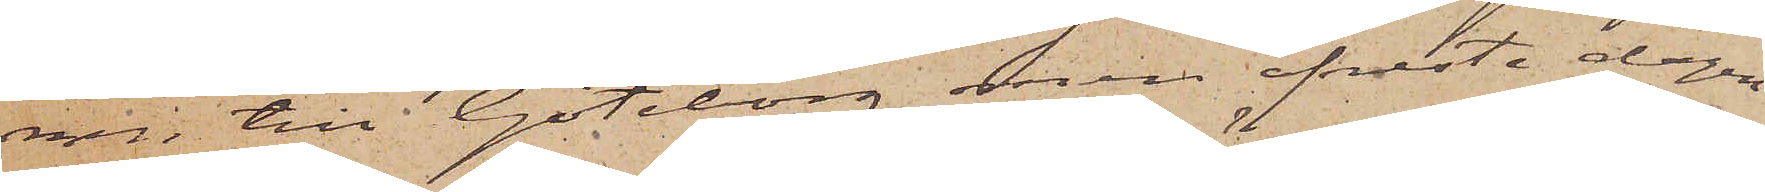nen till Göteborg men afreste dagen
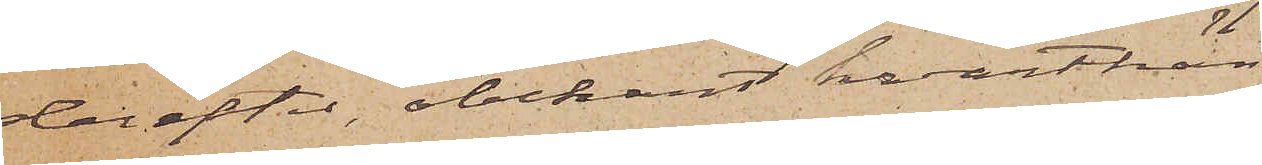derefter, obekant hvarthän
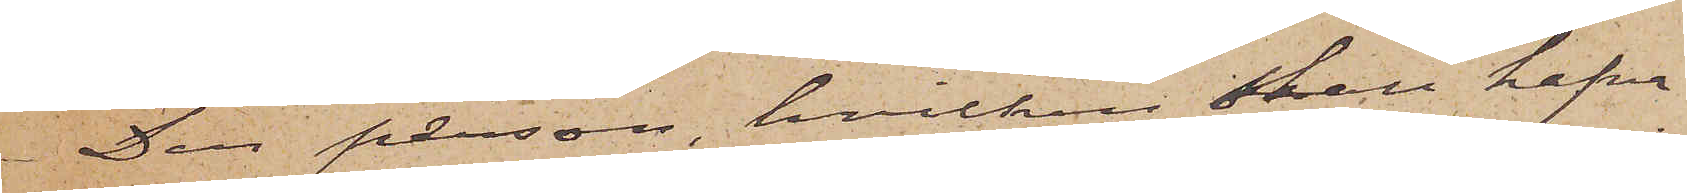Den person, hvilken skall hafva
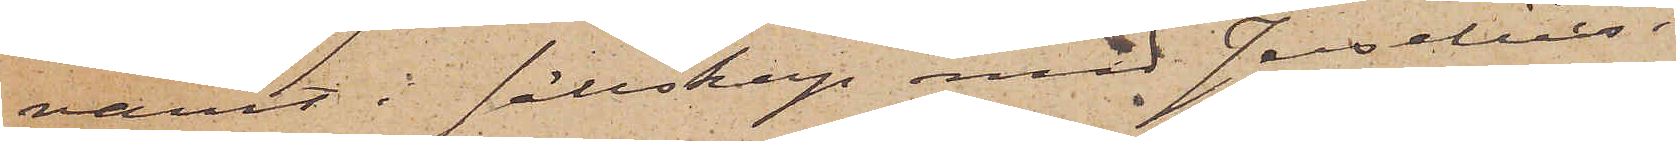varit i sällskap med Joselius i
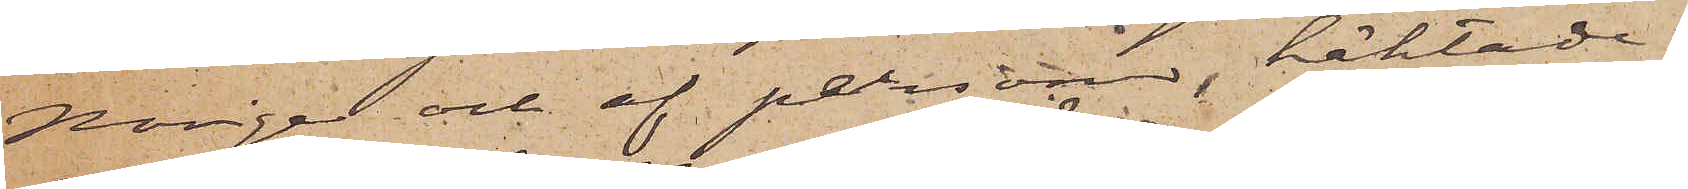Norige och af personer, häktade i
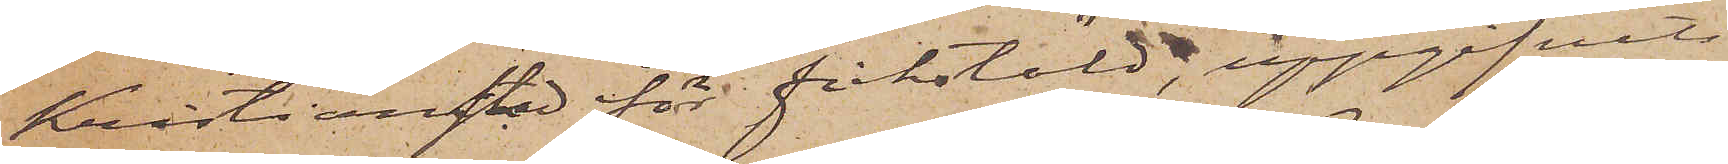Kristianstad för fickstöld, uppgifvits
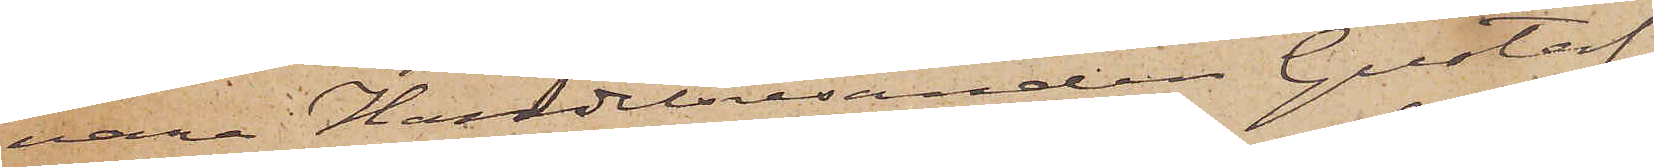vara Handelsresanden Gustaf
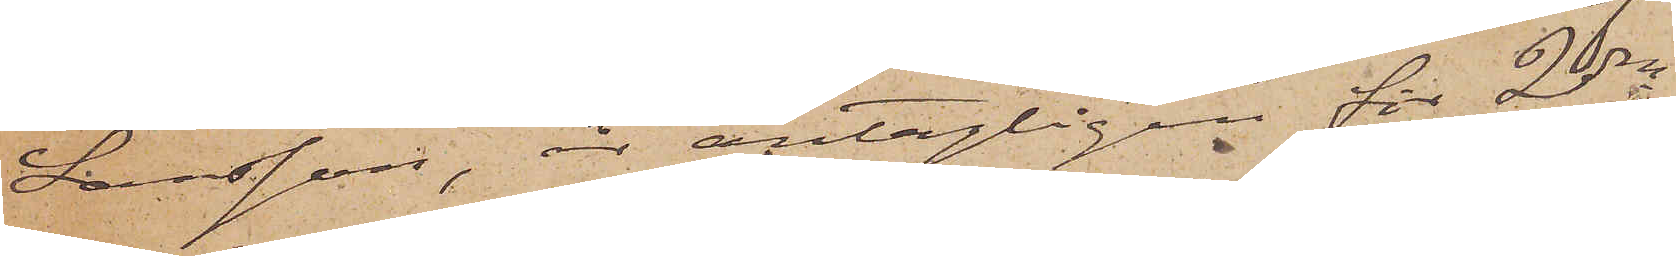Larsson, är antagligen för 2dra
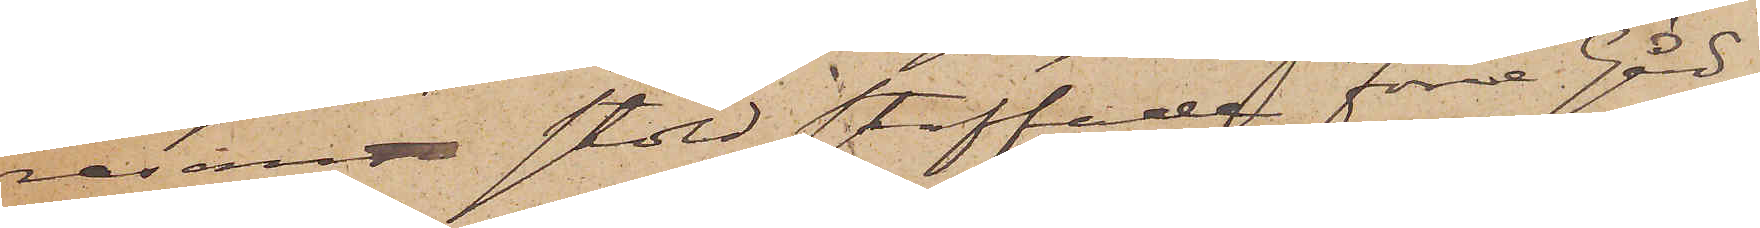resan stöld straffade Förre Gård¬
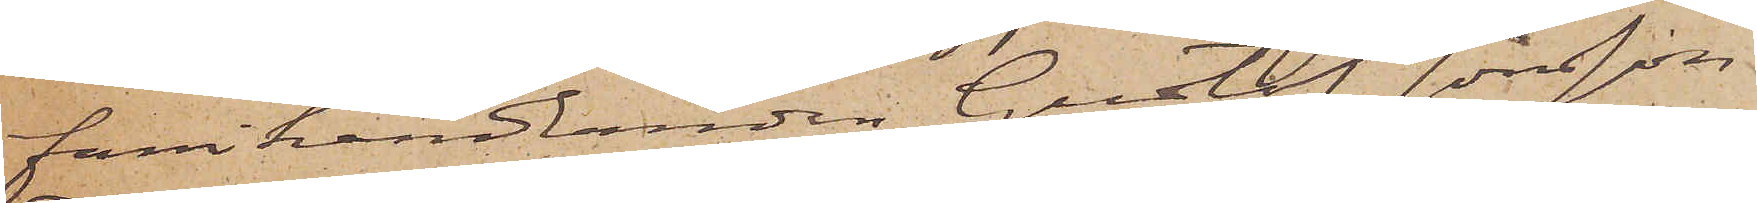farihandlanden Gustaf Jonsson
